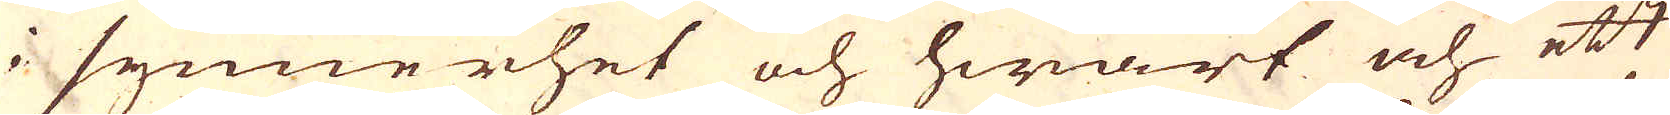i synnerhet och hwart och ett
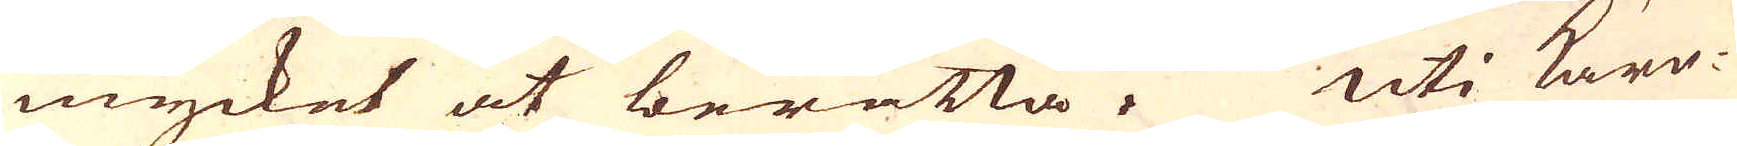mycket at berätta. Uti Kärr-
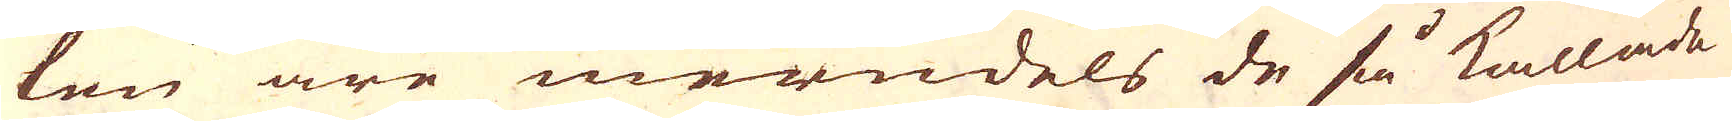len äre merndels de så kallade
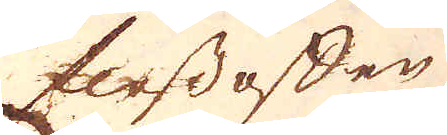flossoffen
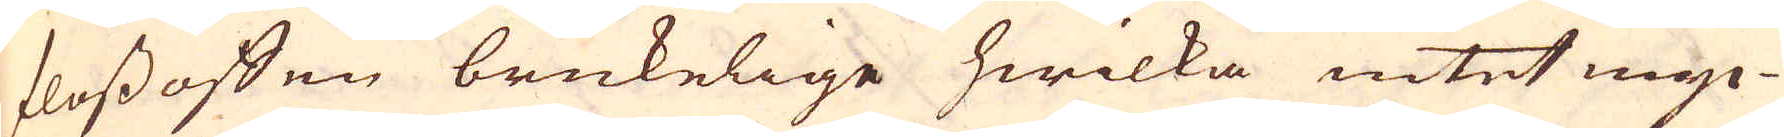flossoffen brukelige hwilka intet myc-
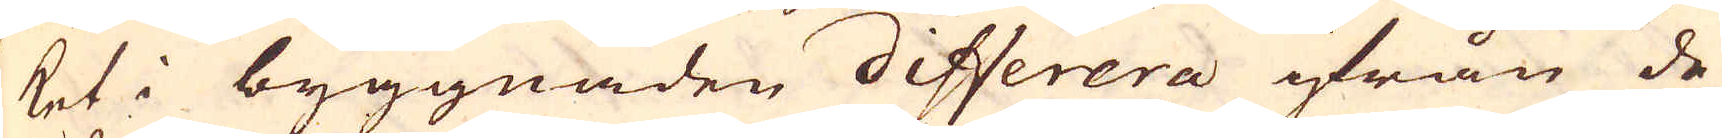ket i byggnaden differera ifrån de
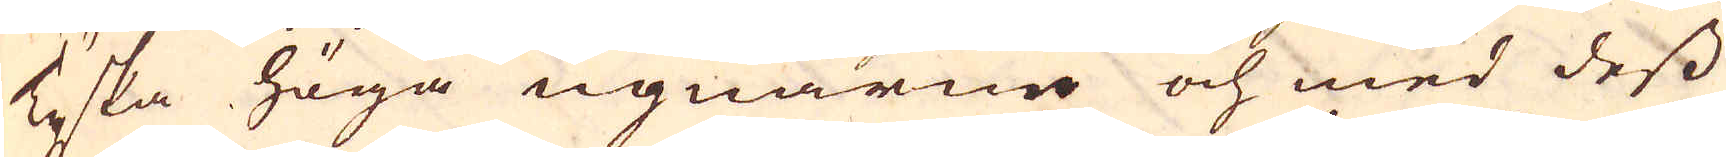Tyska höga ugnarne och med dess
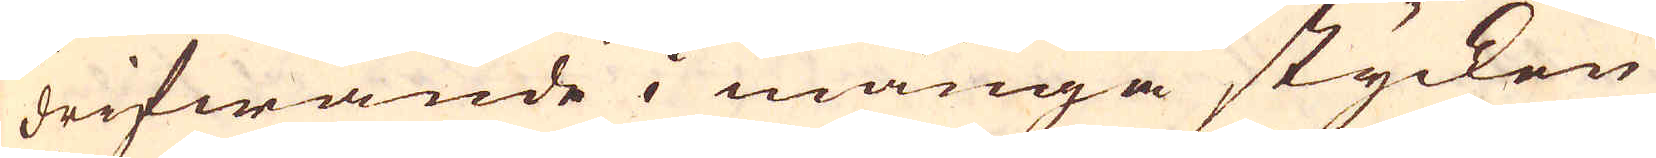drifwande i många stycken
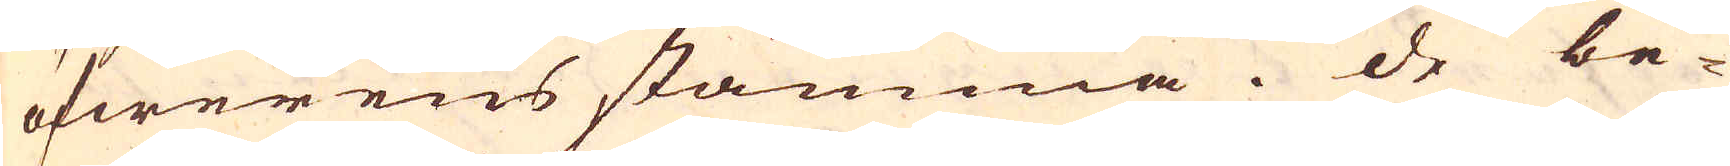öfwerens stämma. De be-
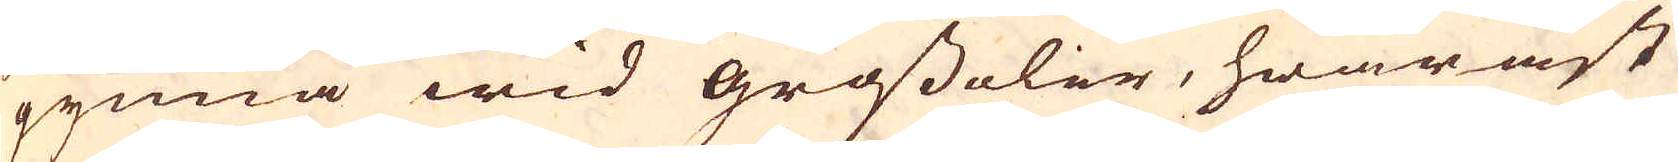gynna wid grossoler, hwaräst
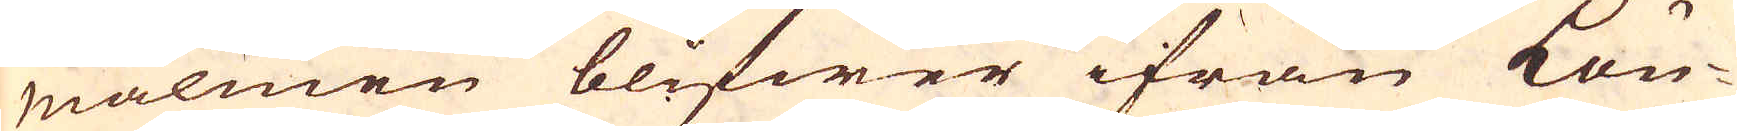malmen blifwer ifrån Lön-
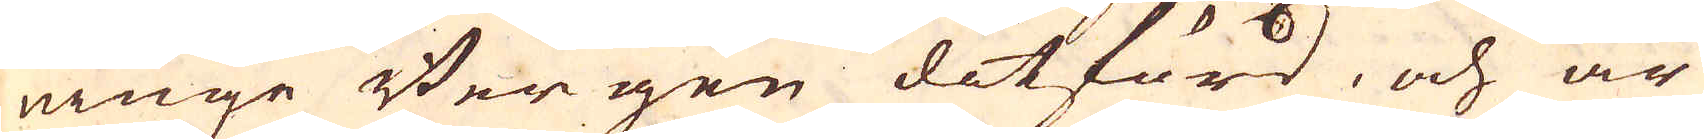ninge Bergen ditförd, och är
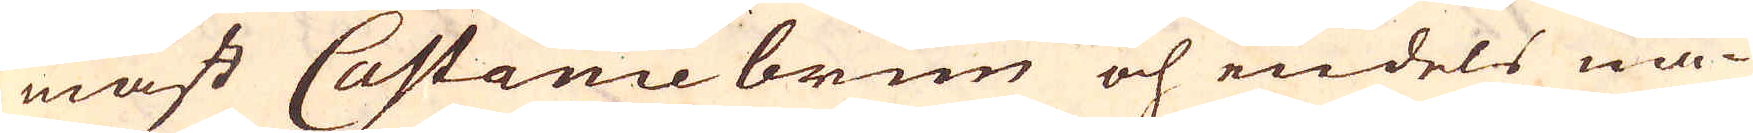mäst Castaniebrun och endels nå-
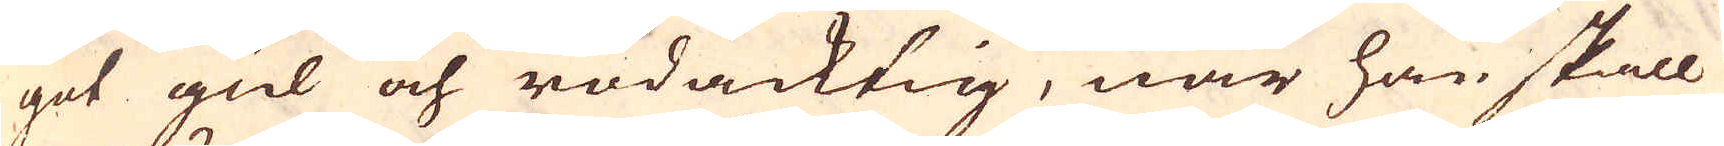got gul och rödacktig, när han skall
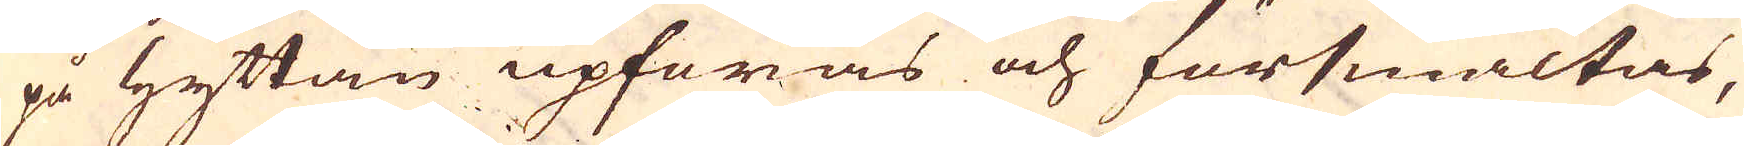på Hyttan upföras och försmältas,
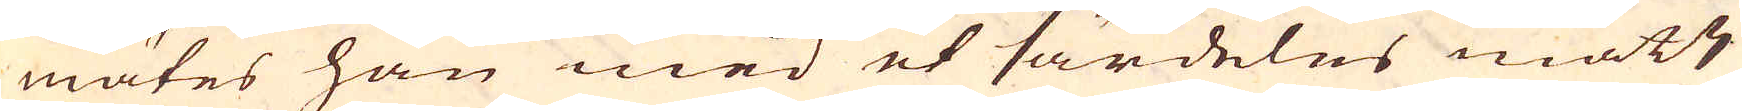mätes han med et särdeles mått
